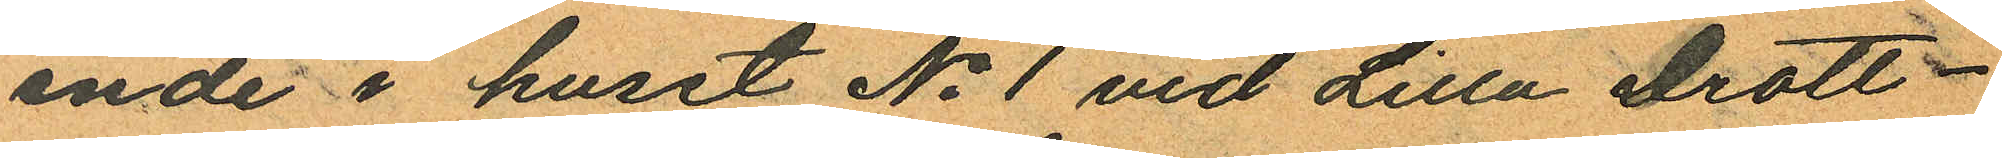ende i huset No 1 vid Lilla Drott¬
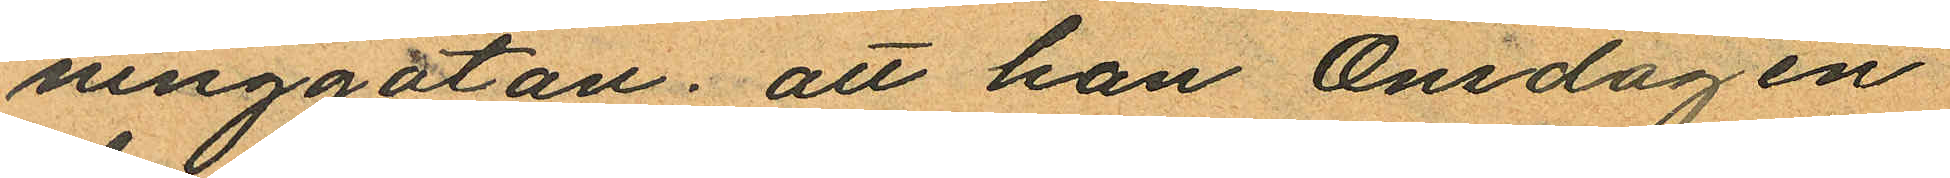ninggatan; att han Onsdagen
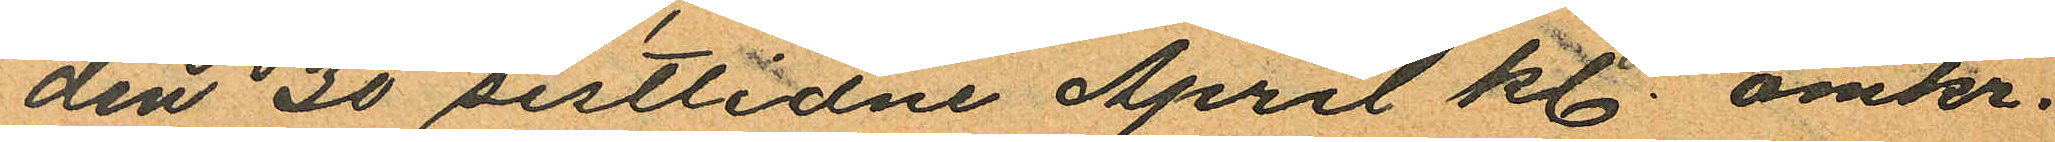den 30 sistlidne April kl. omkr.
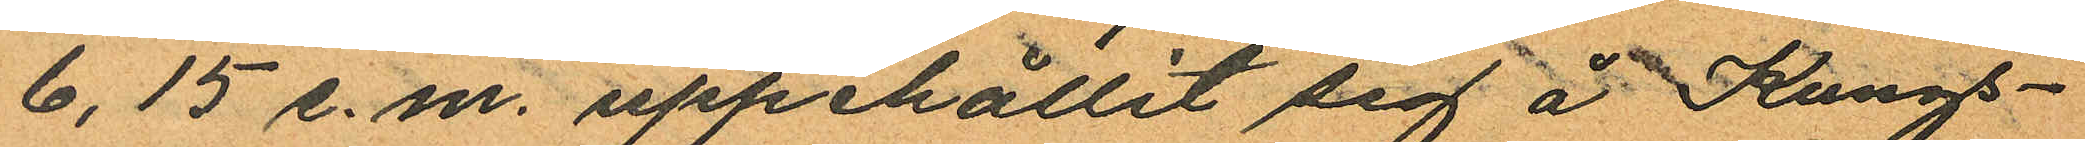6,15 e. m. uppehållit sig å Kungs¬
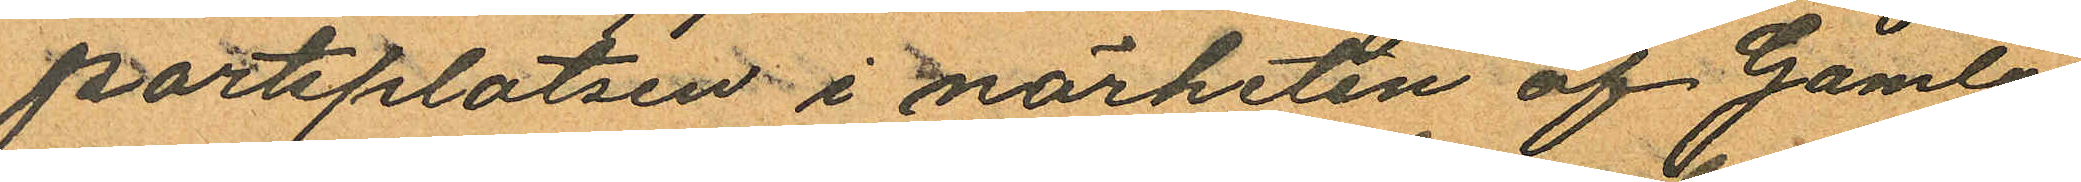portsplatsen i närheten af Gamla
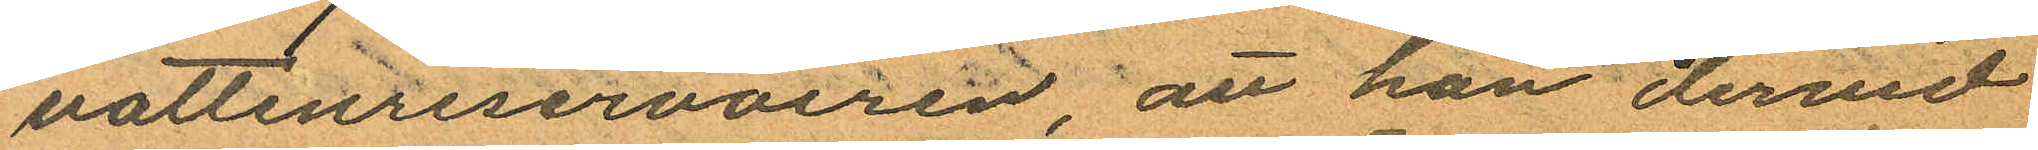vattenreservoiren, att han dervid
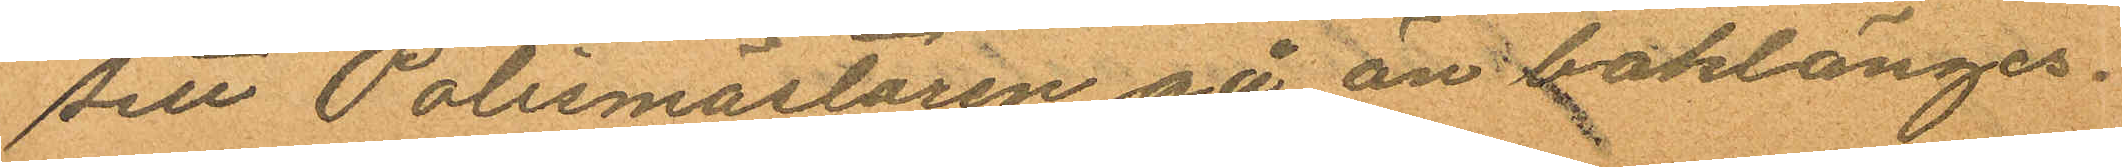sett Polismästaren gå än baklänges.
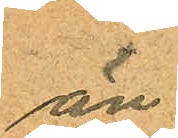än
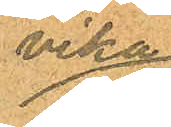vika
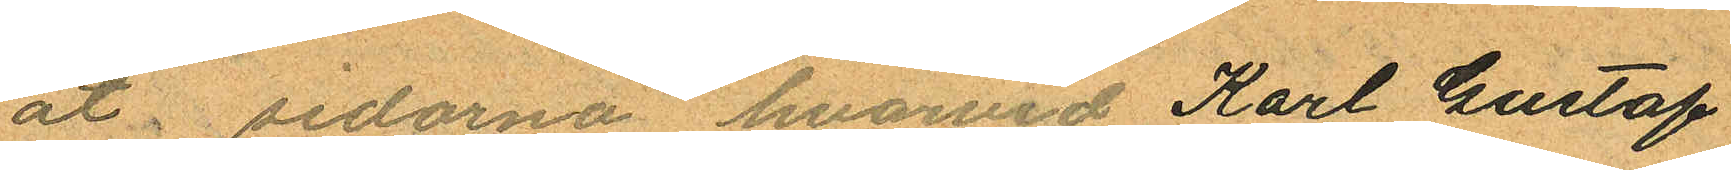åt, sidorna, hvarvid Karl Gustaf
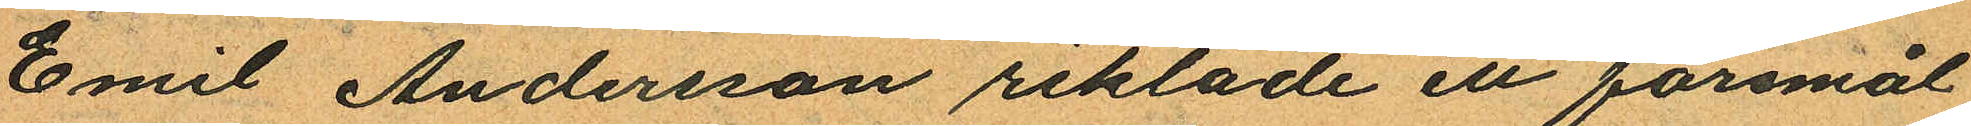Emil Andersson riktade ett föremål
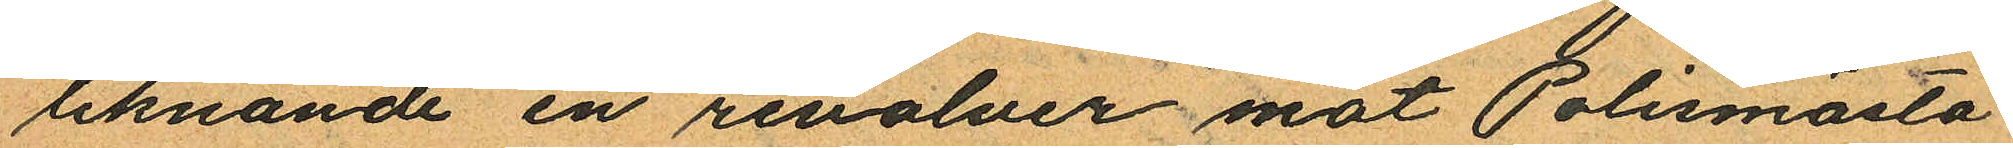liknande en revolver mot Polismäst¬
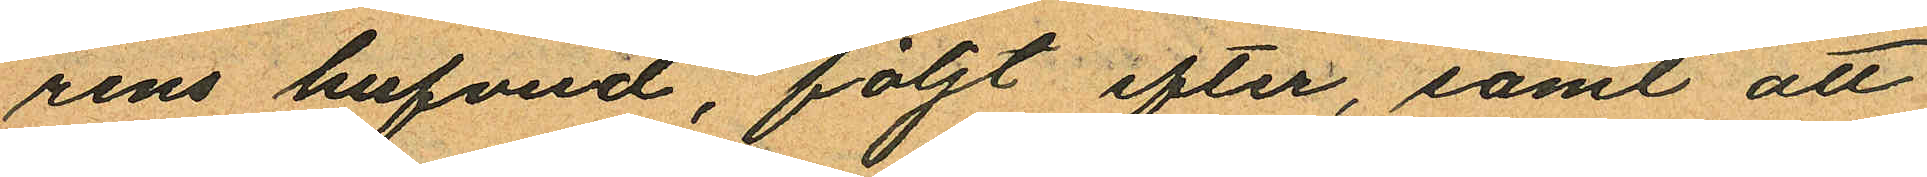rens hufvud, följt efter, samt att
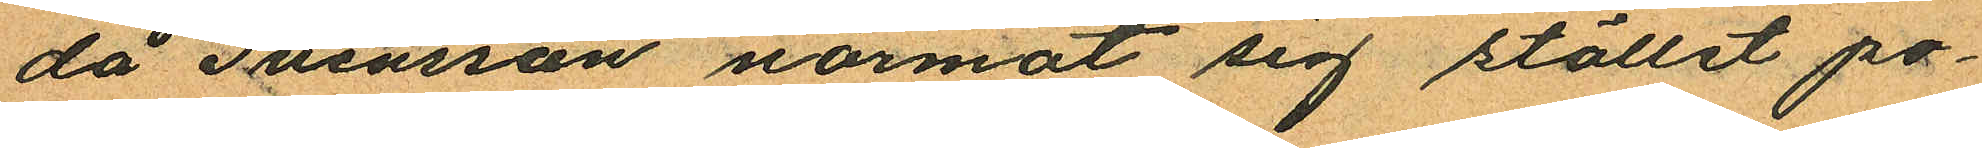då Svensson närmat sig stället po¬
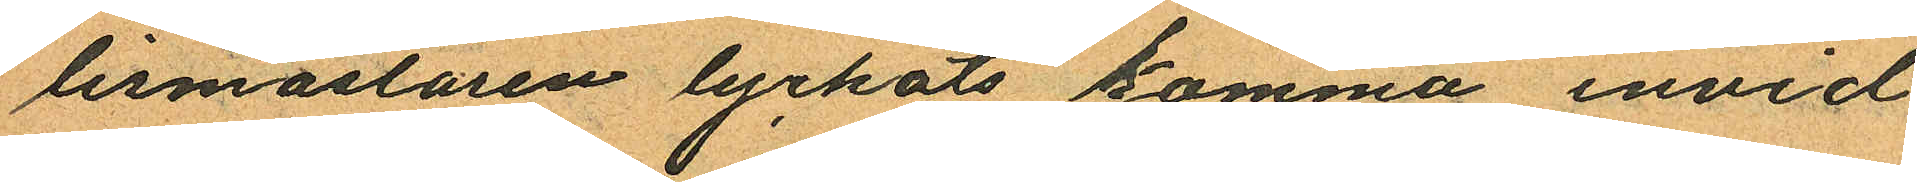lismästaren lyckats komma invid
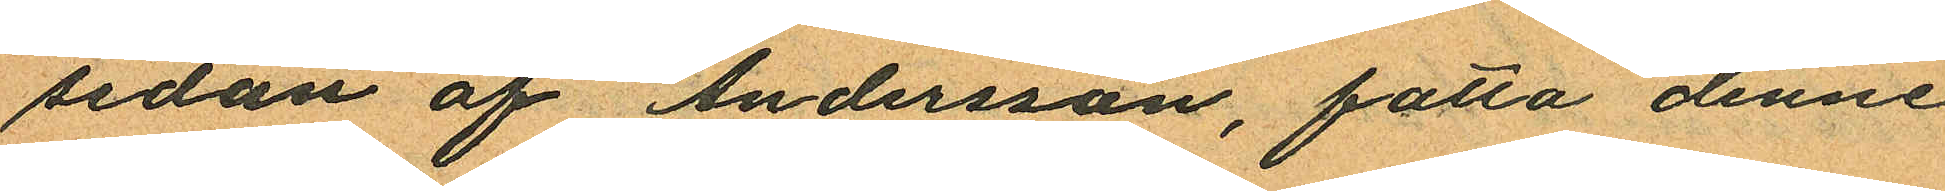sidan af Andersson, fatta denne
